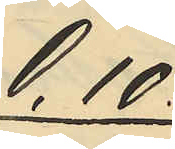0,10.
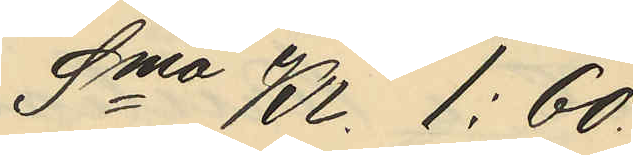Sma Kr. 1:60.
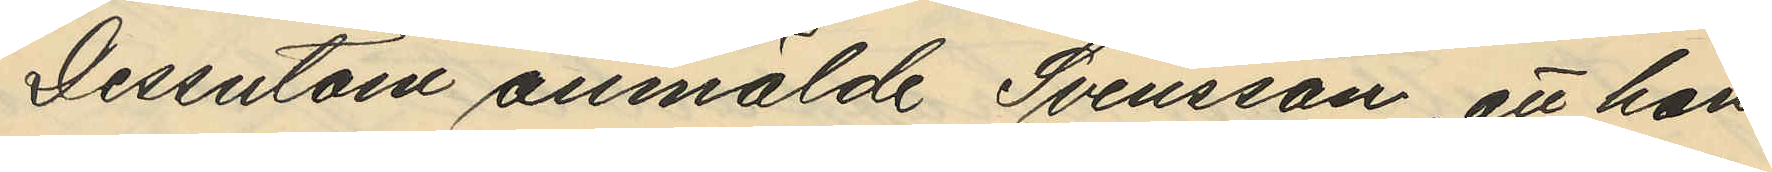Dessutom anmälde Svensson, att han
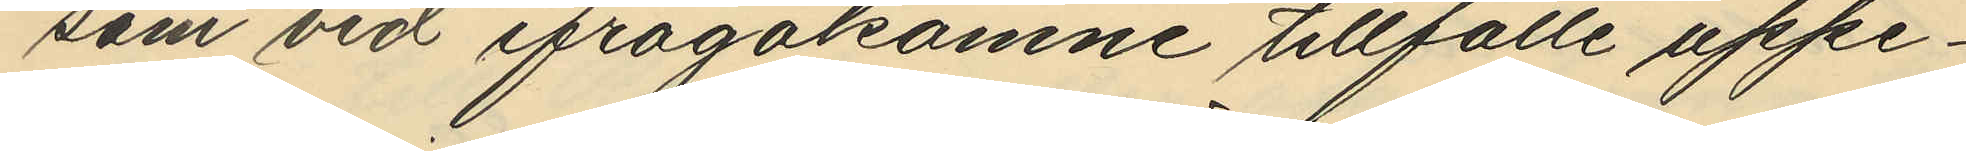som vid ifrågakomne tillfälle uppe¬
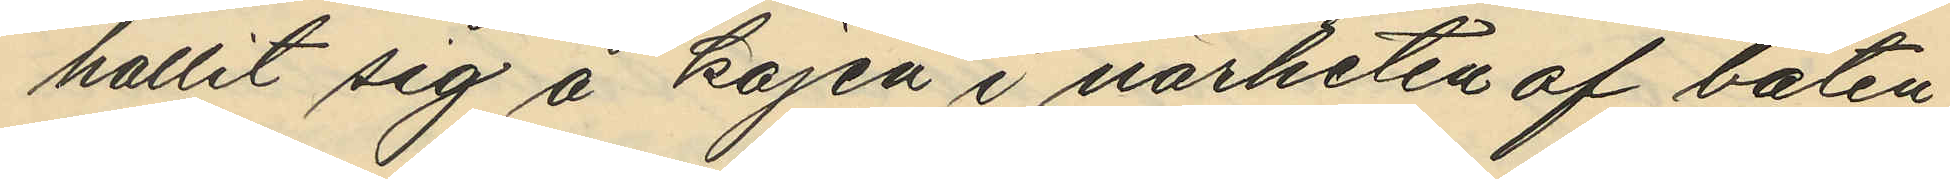hållit sig å kajen i närheten af båten
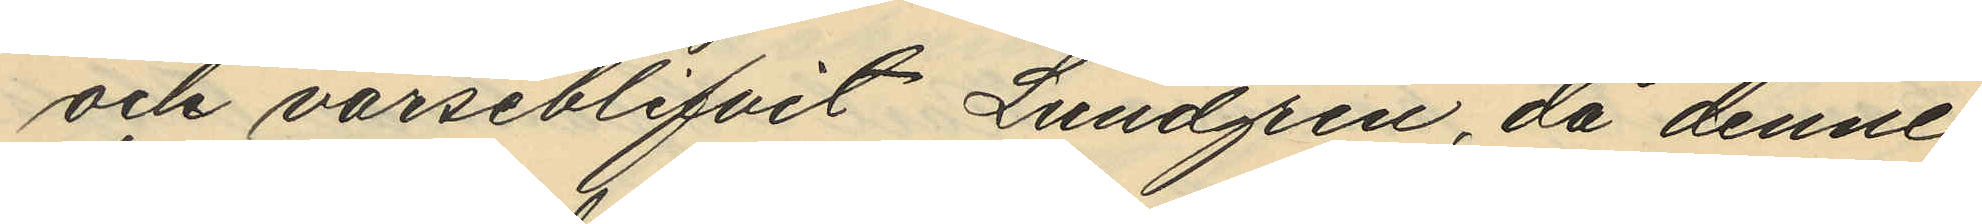och varseblifvit Lundgren, då denne
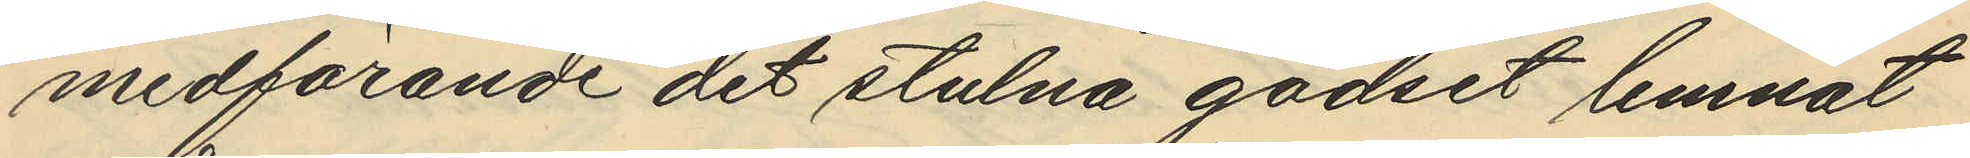medförande det stulna godset lemnat
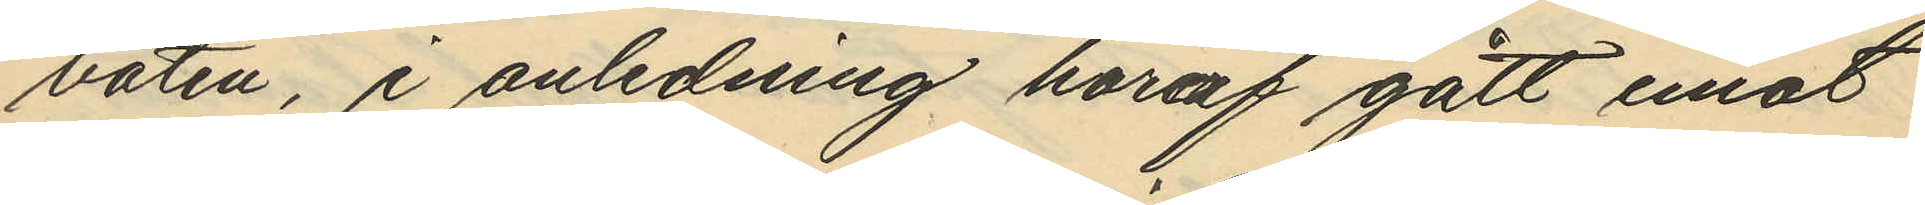båten, i anledning häraf gått emot
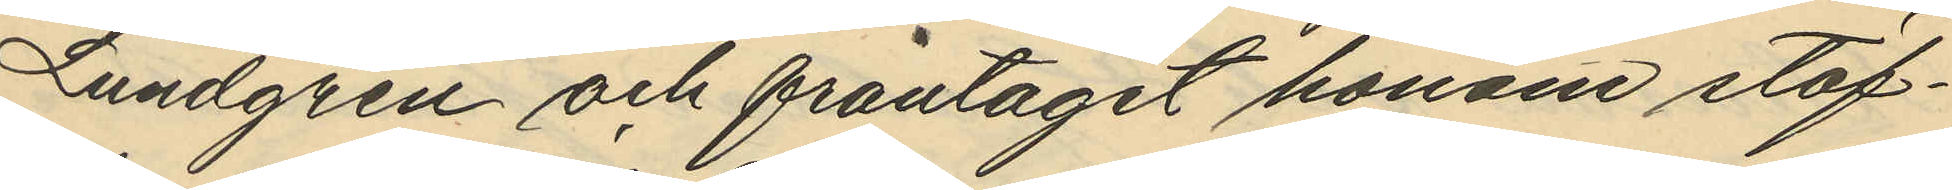Lundgren och fråntagit honom stöf¬
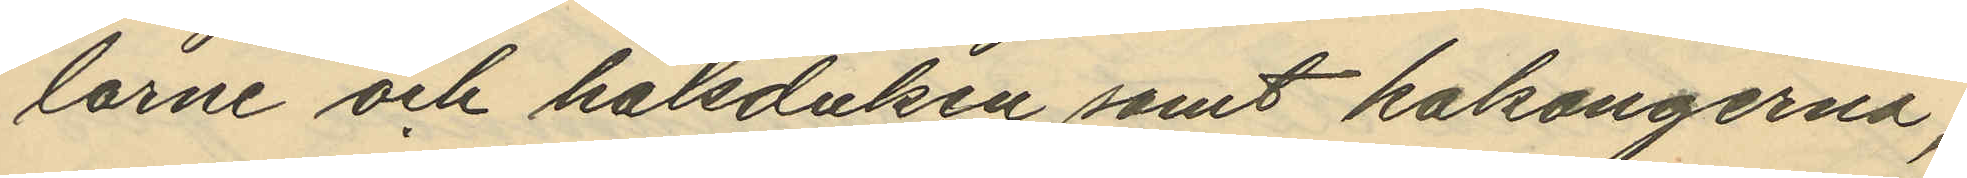larne och halsduken samt kalsongerna,
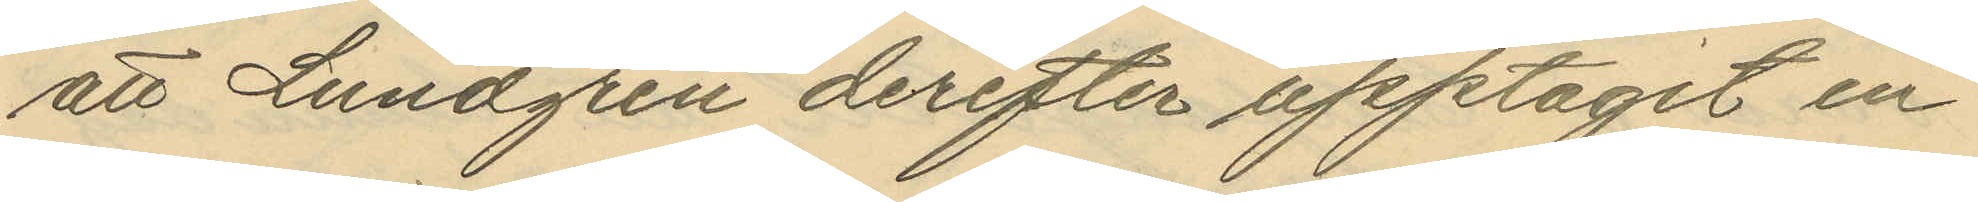att Lundgren derefter upptagit en
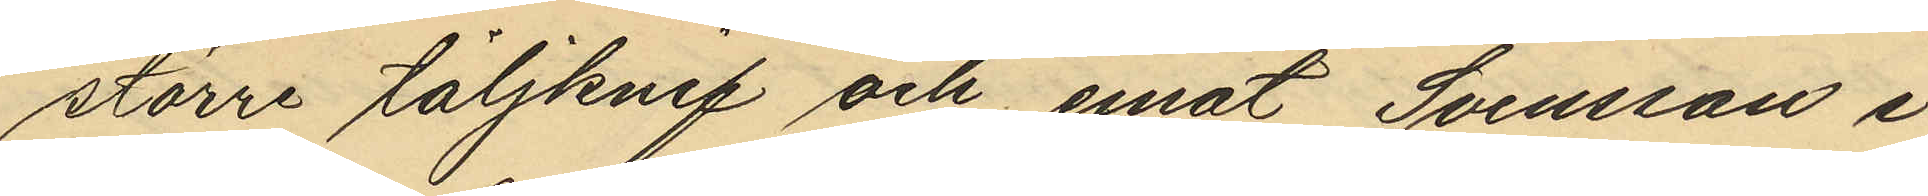större täljknif och emot Svensson i
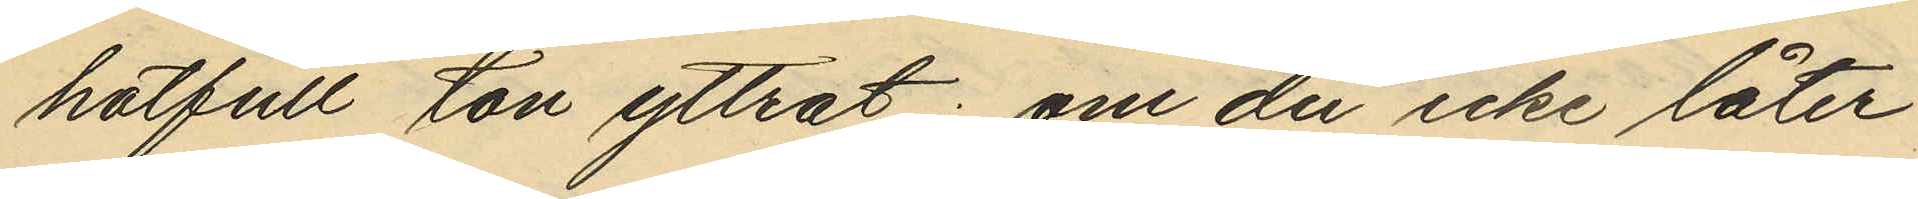hotfull ton yttrat: om du icke låter
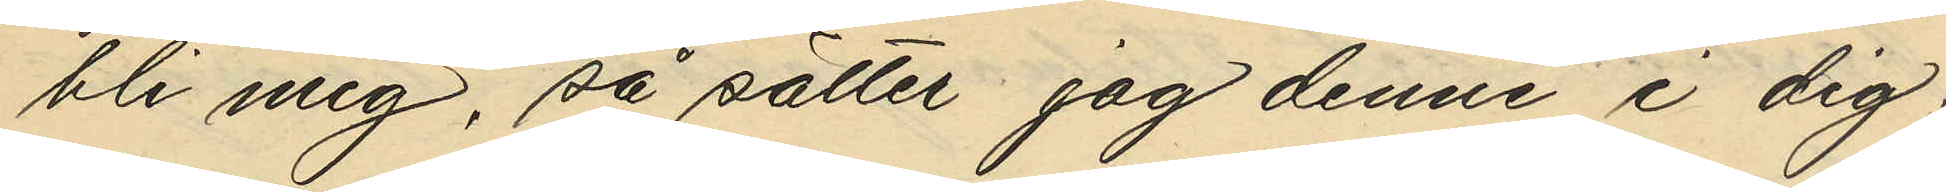bli mig, så sätter jag denne i dig,
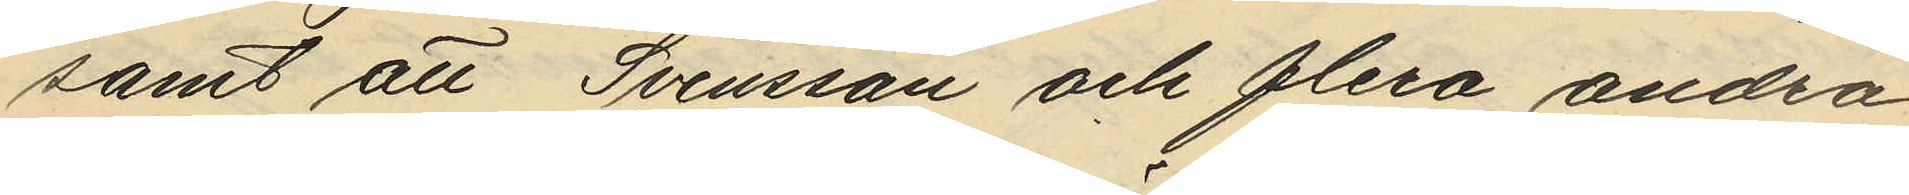samt att Svensson och flera andra
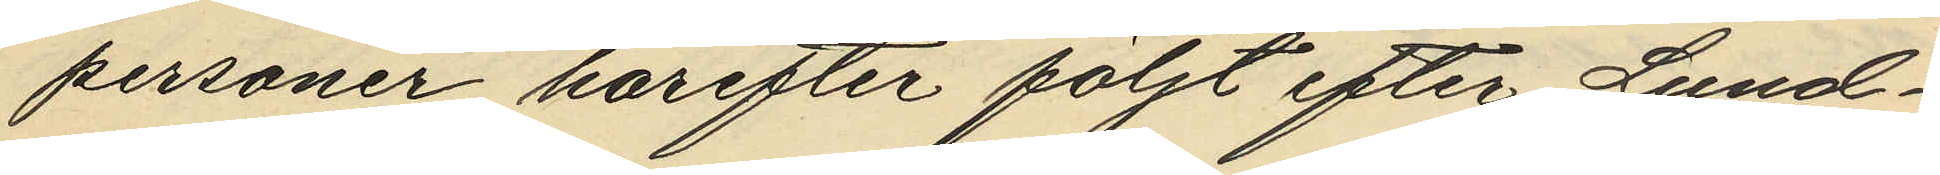personer härefter följt efter Lund¬
